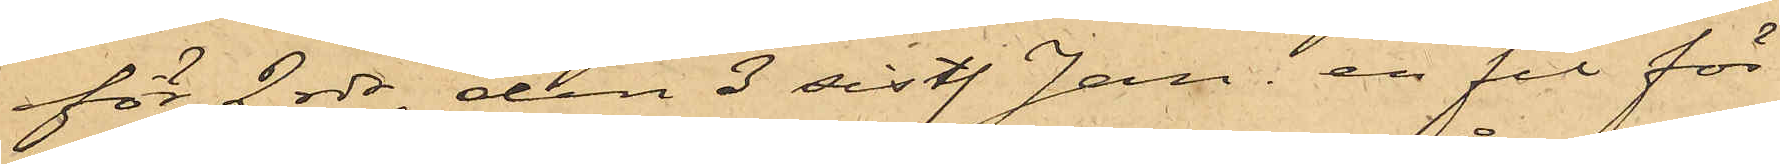för 2 rdr, den 3 sistl. Jan. en fil för
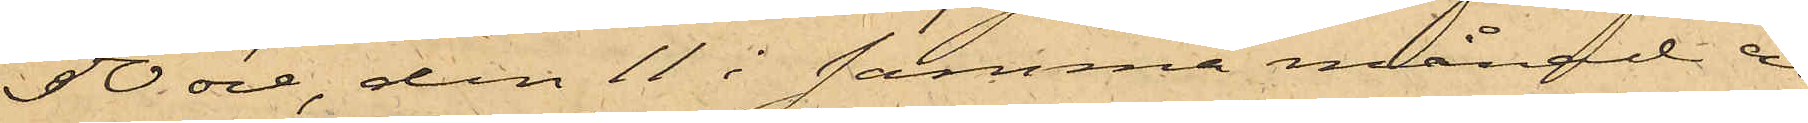50 öre, den 11 i samma månad en
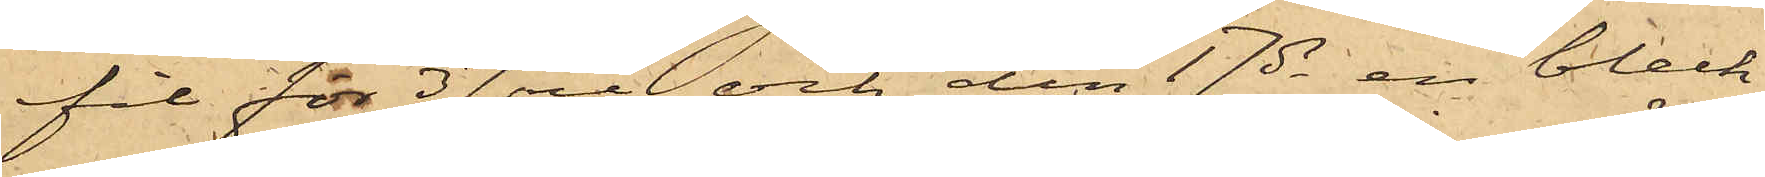fil för 37 öre och den 17 ds en bleck¬
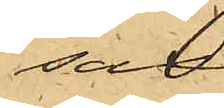sax
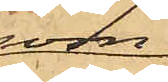som
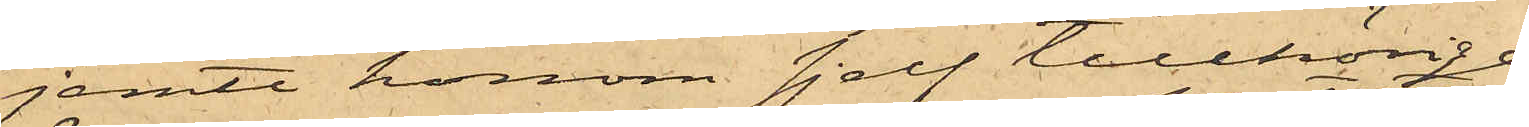jemte honom sjelf tillhörige
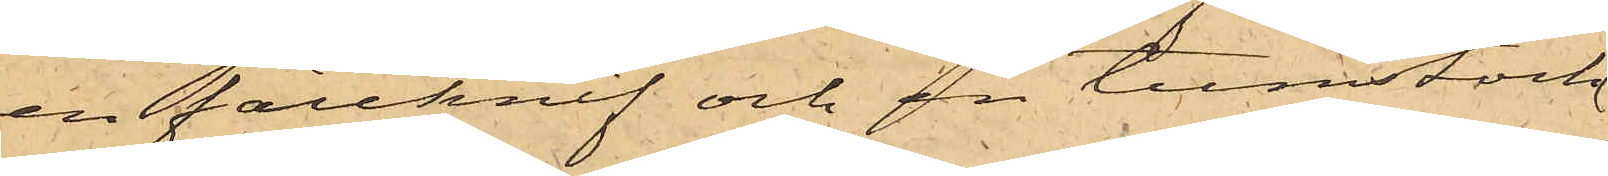en fällknif och en tumstock
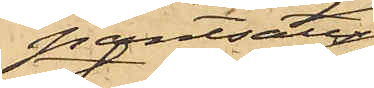pantsatts
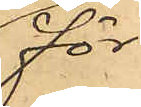för
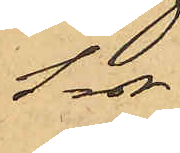1 rdr.
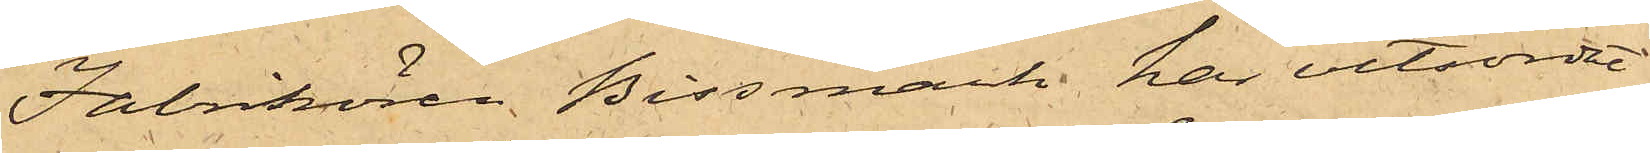Fabrikören Bissmark har vitsordat
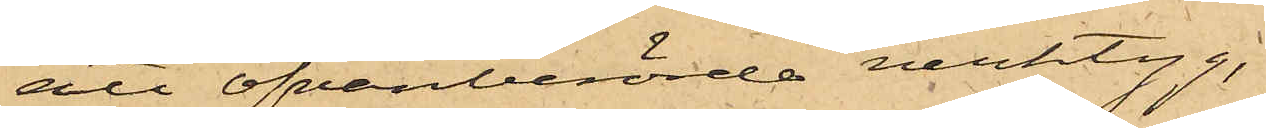att ofvanberörde verktyg,
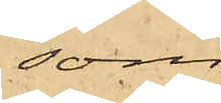som
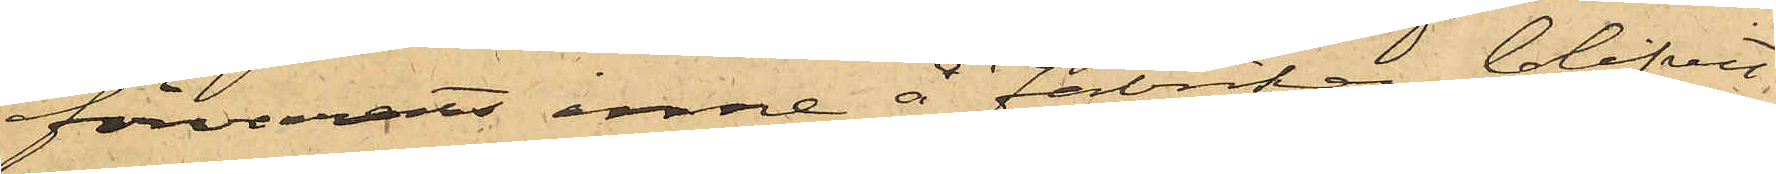förvarats inne å Fabriken, blifvit
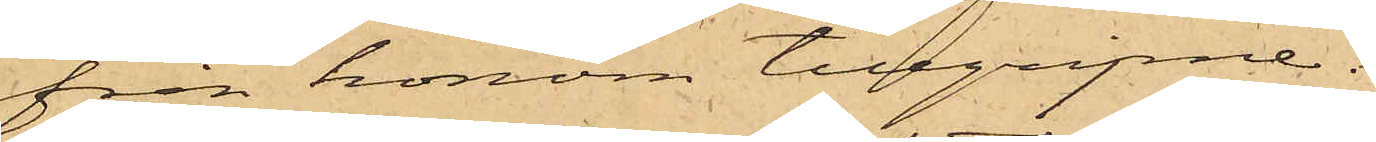från honom tillgripne.
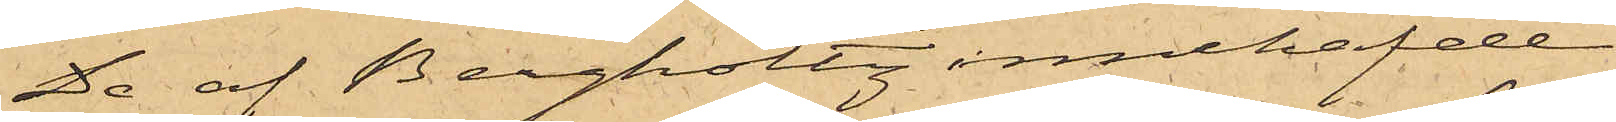De af Bergholtz innehafde
